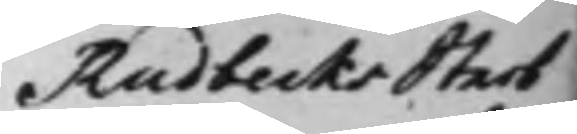Rudbecks Sterb¬
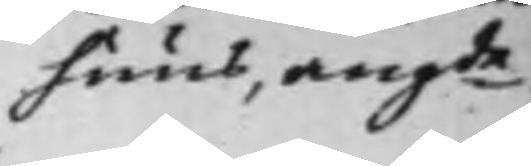huus, angde
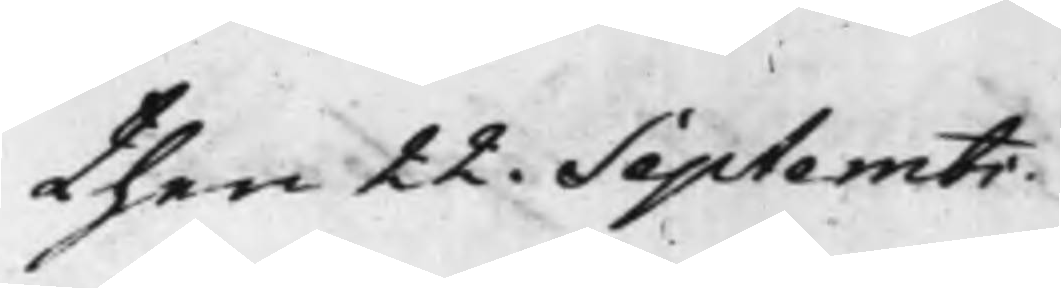then 22. Septembr.
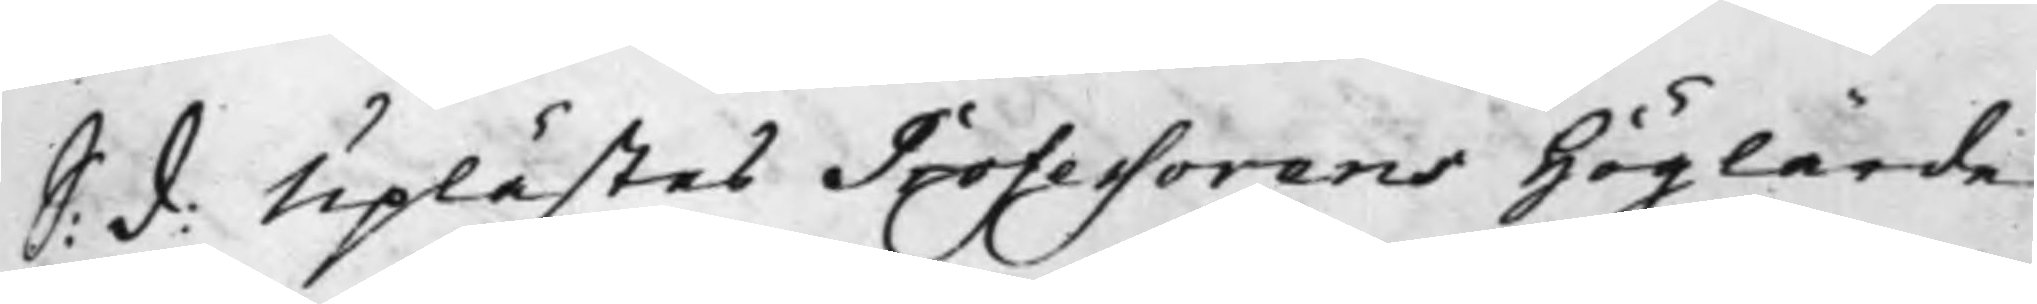S: d: Uplästes Professorens Höglärde
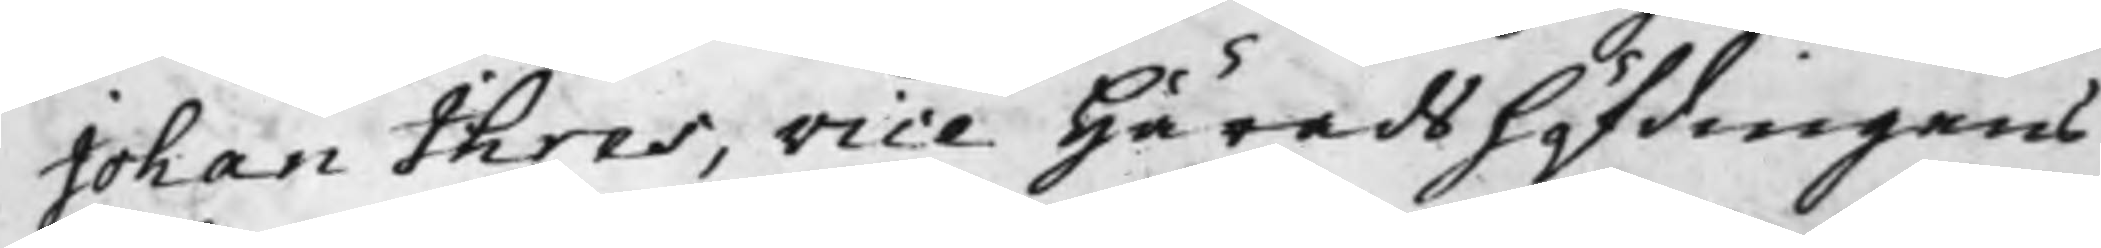Johan Ihres, Vice Häradshöfdingens
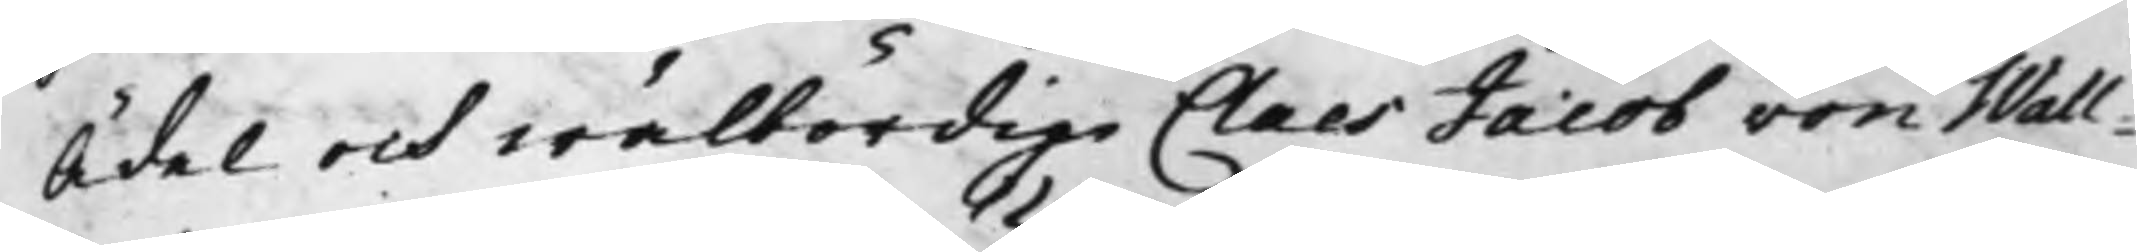Ädel och wälbördig Claes Jacob von Wall¬
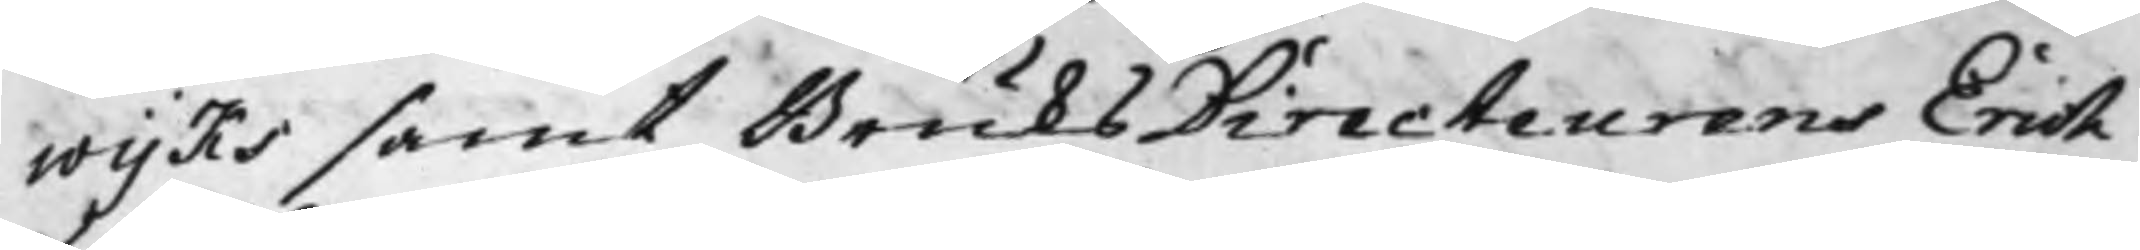wijks samt BruksDirecteurens Erich
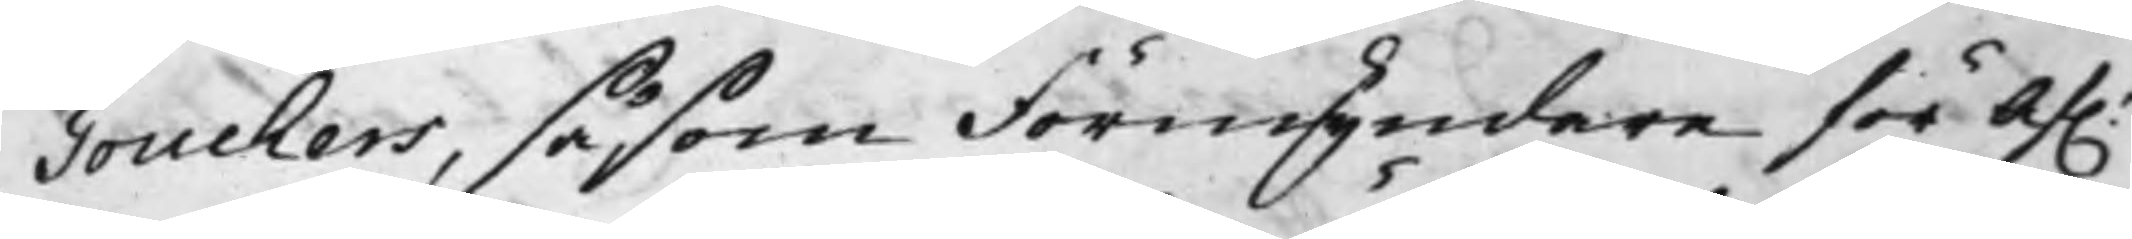Touchers, såsom Förmyndare för af.
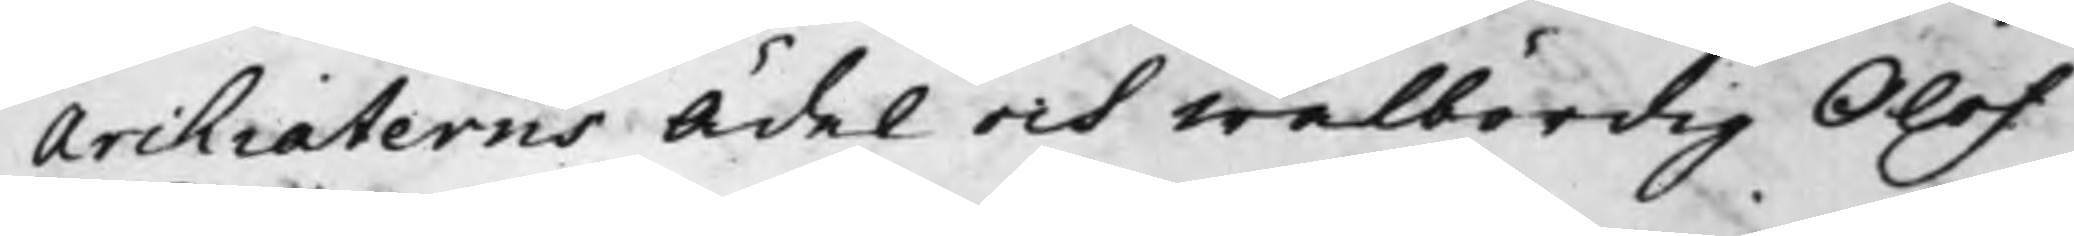Archiaterns Ädel och Wälbördig Olof
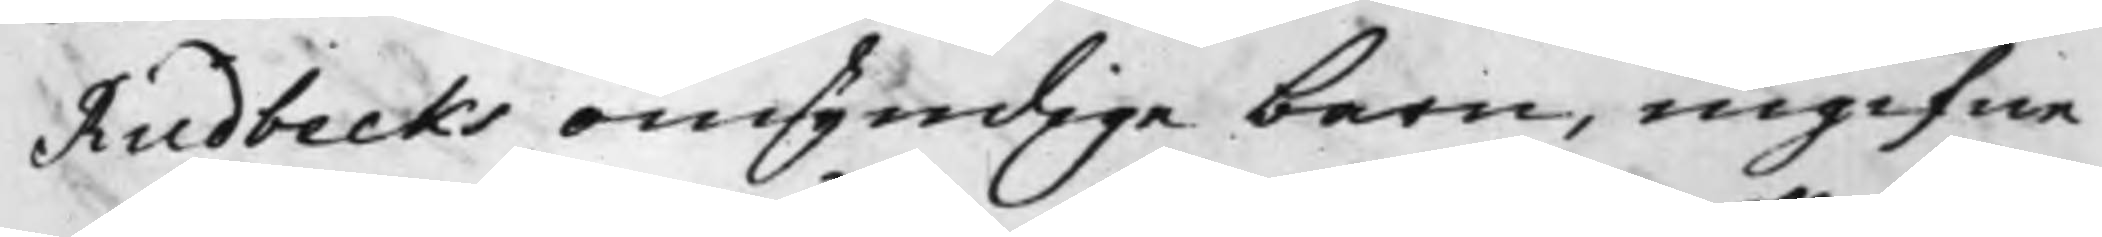Rudbecks omyndige barn, ingifne
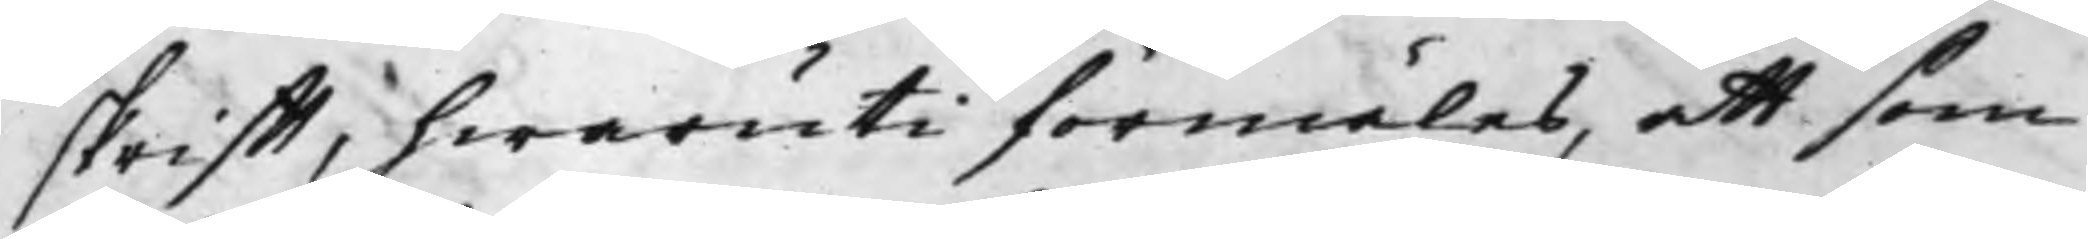skrifft, hwaruti förmäles, att som
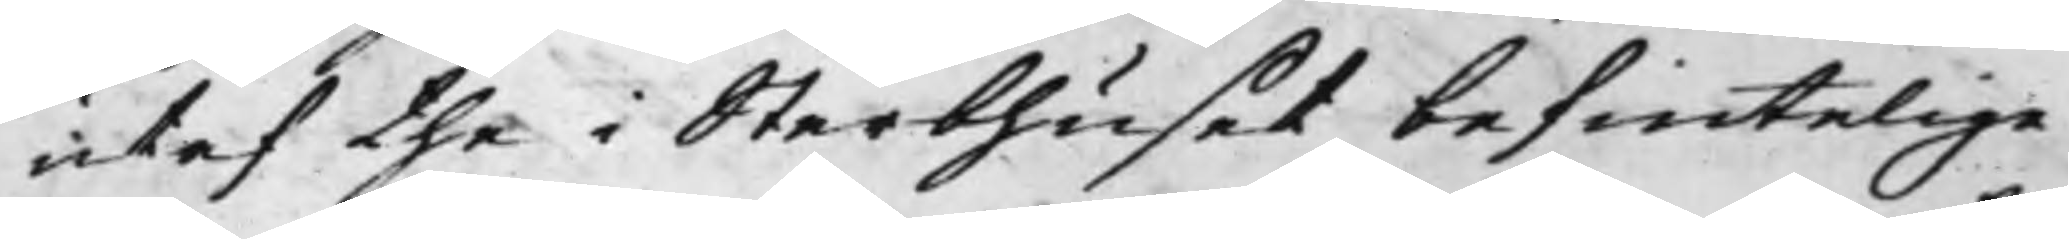utaf the i Sterbhuset befintelige
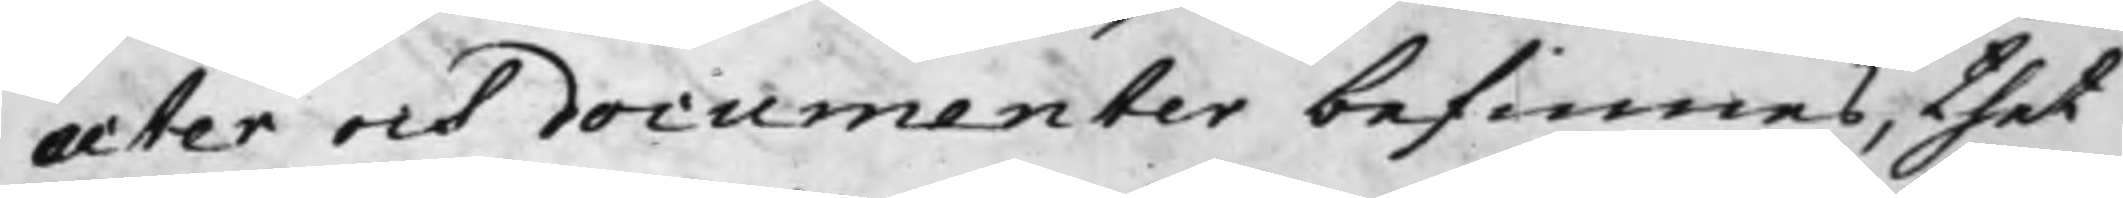acter och documenter befinnes, thet
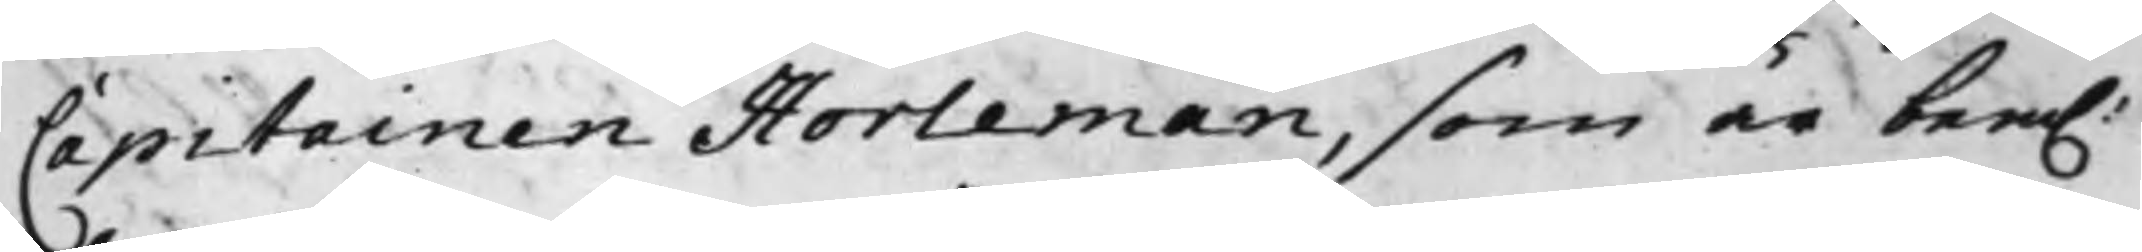Capitainen Horleman, som är bem.
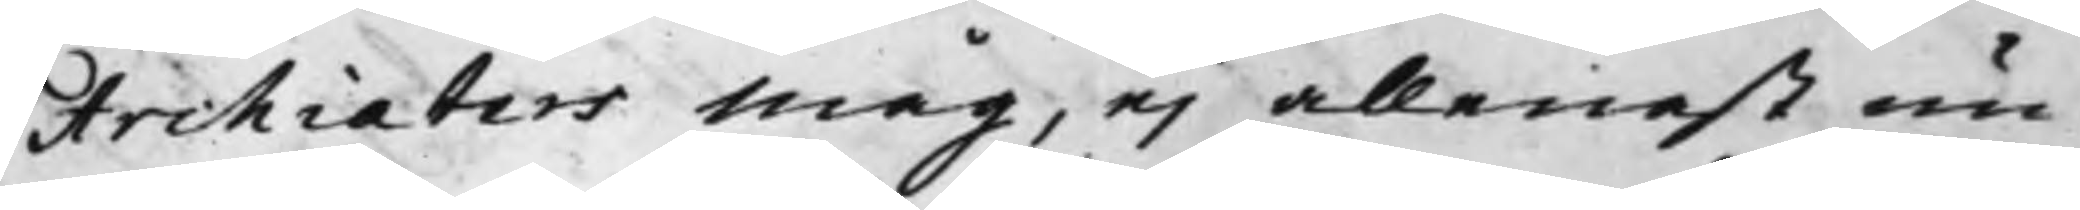Archiaters måg, ej allenast nu
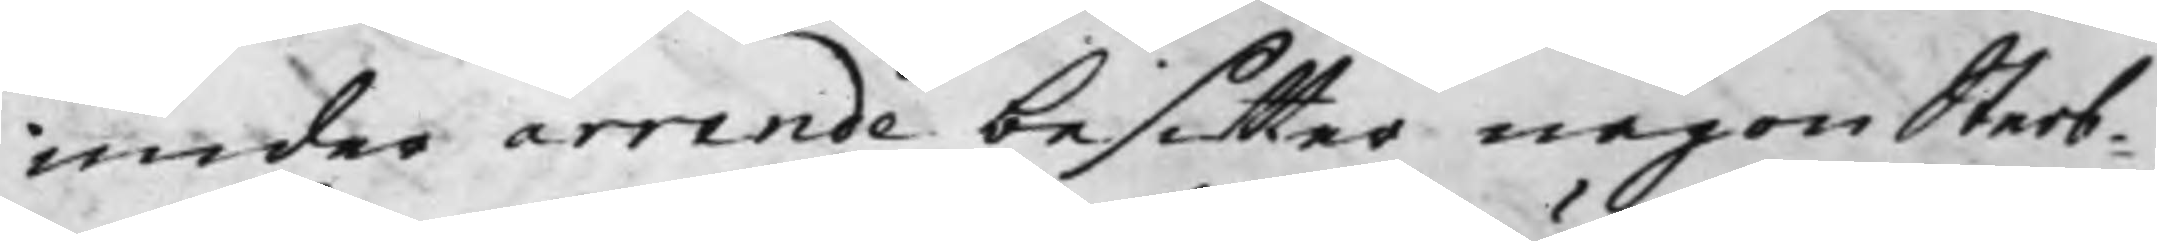under arrende besitter någon Sterb¬
